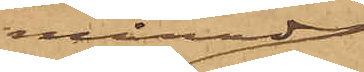månad
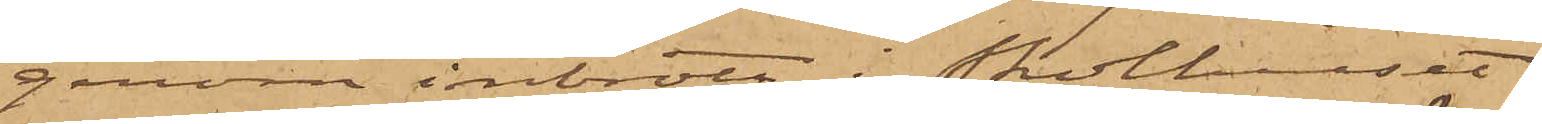genom inbrott i Skolhuset
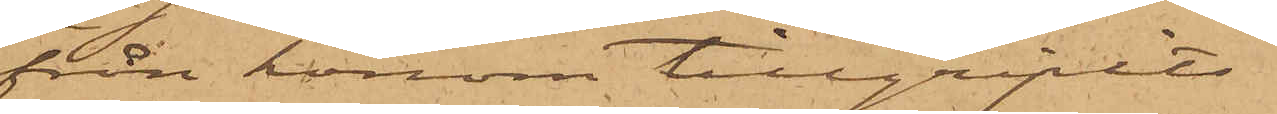från honom tillgripits
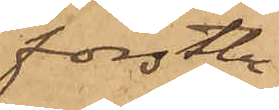förstbe¬
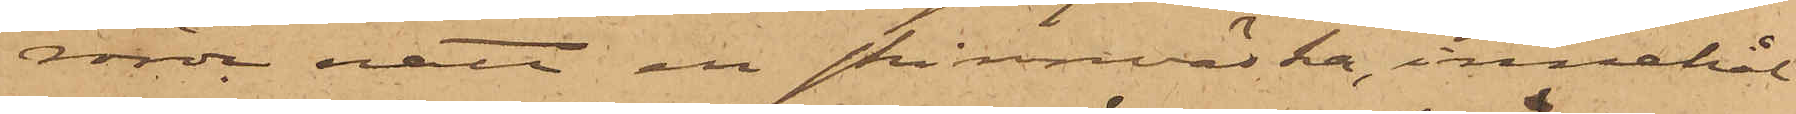rörde natt en skinnväska, innehål¬
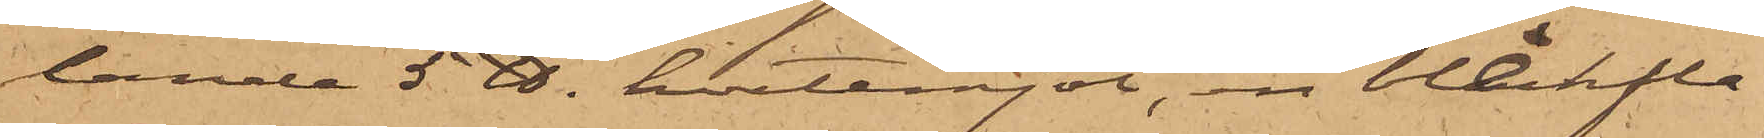lande 5 ℔. hvetemjöl, en bleckfla¬
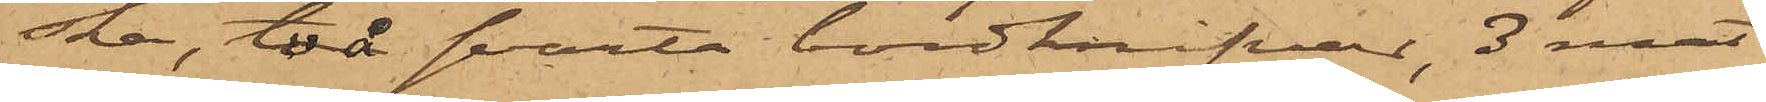ska, två svarta bordknifvar, 3 mat¬
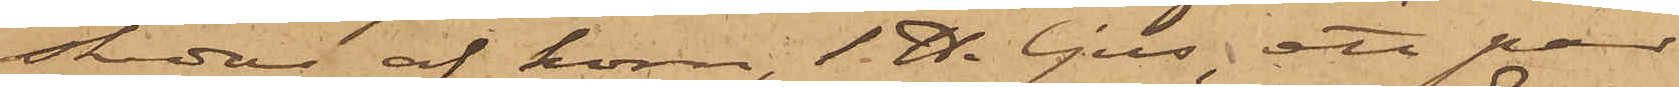skedar af horn, 1 ℔. ljus, ett par
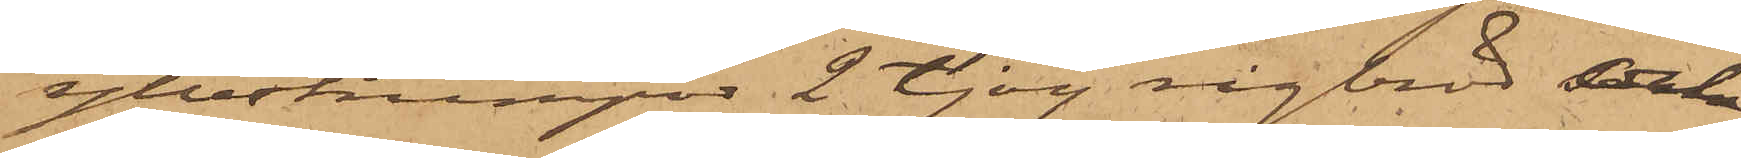yllestrumpor 2 tjog rågbröd och
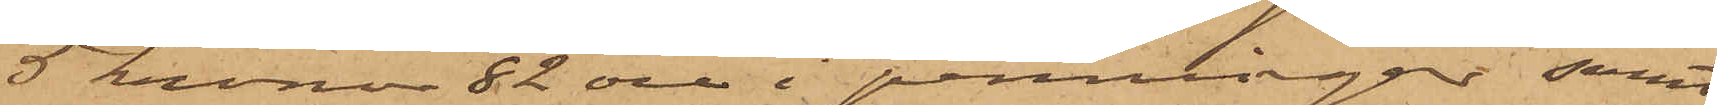5 kronor 82 öre i penningar samt
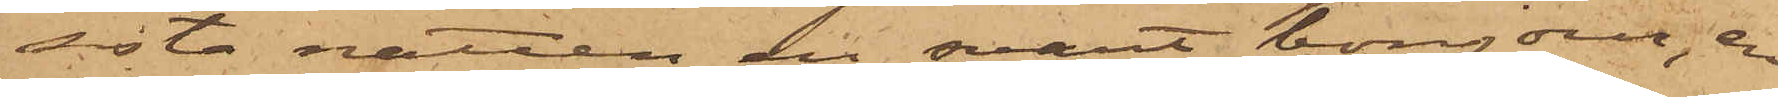sista natten en svart bonjour, en
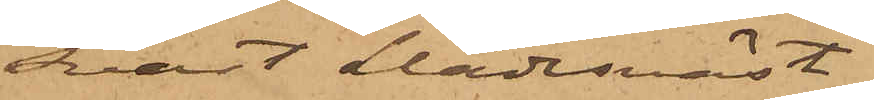svart klädesväst,
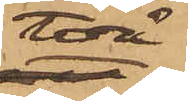två
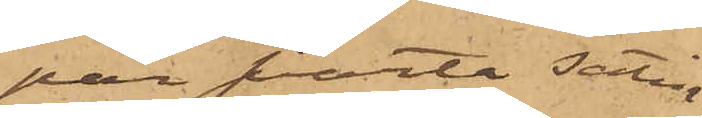par svarta satin¬
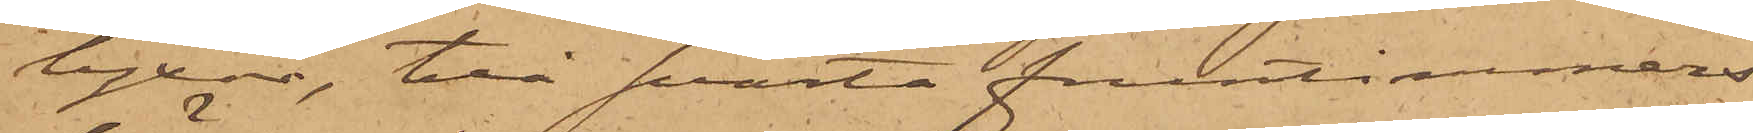byxor, två svarta fruntimmers¬
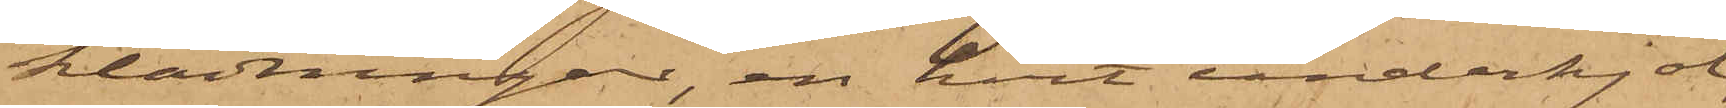klädningar, en hvit underkjol,
